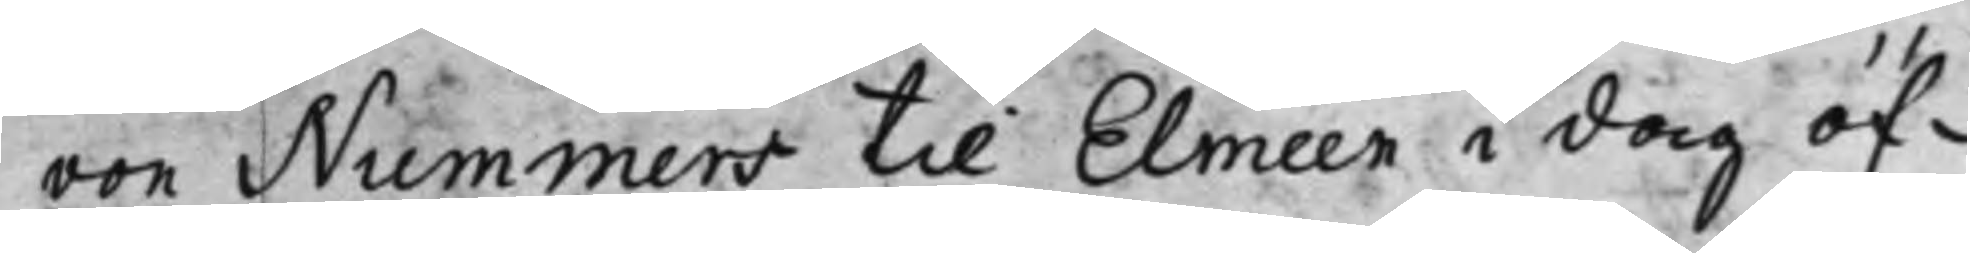von Nummers till Elmeen i dag öf¬
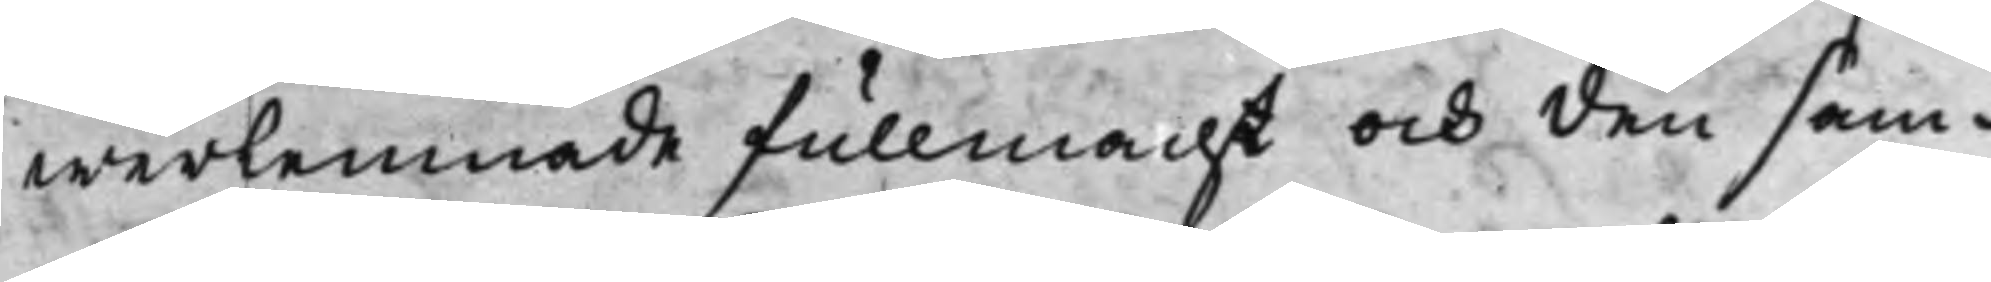werlemnade fullmacht och den sam¬
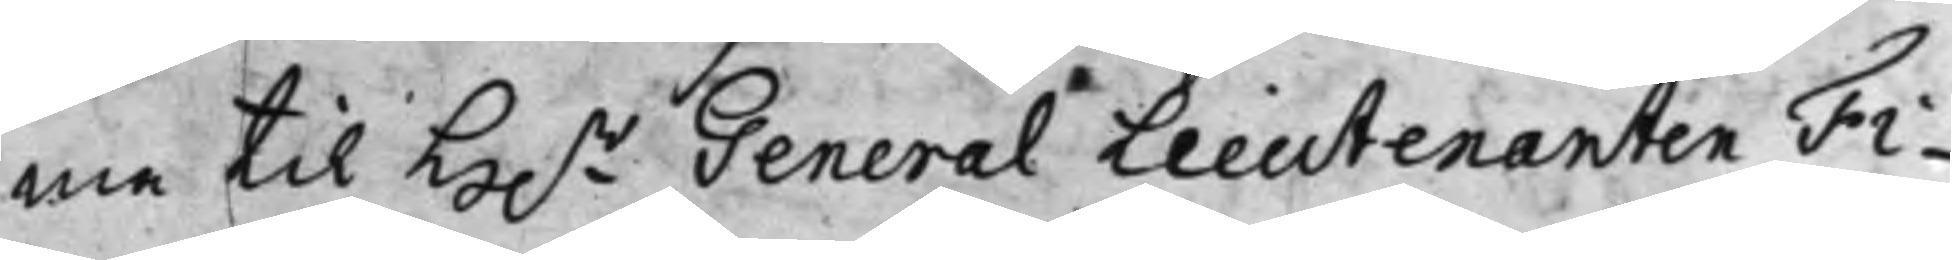me til H.r General Lieutenanten Fi¬
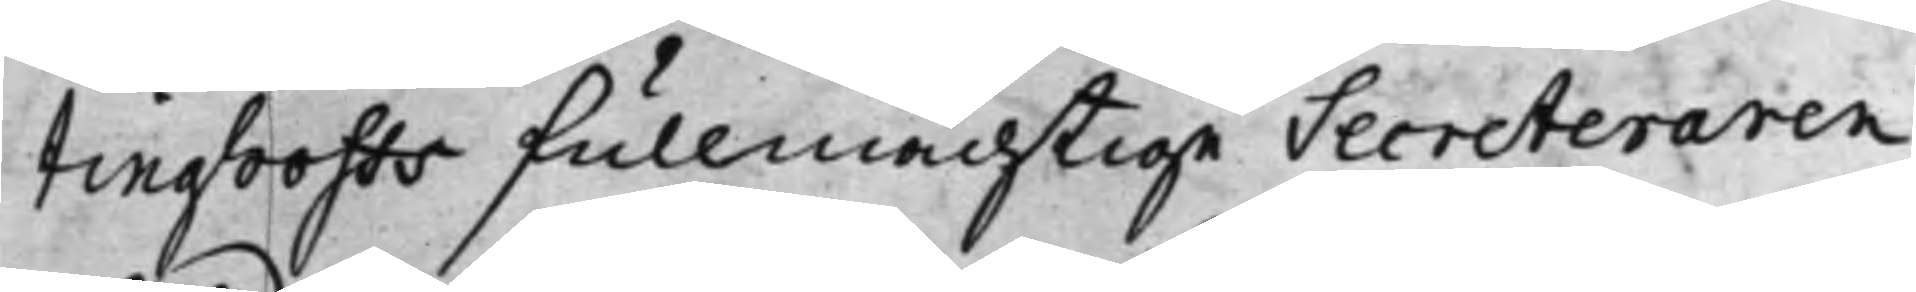tinghoffs fullmächtige Secreteraren
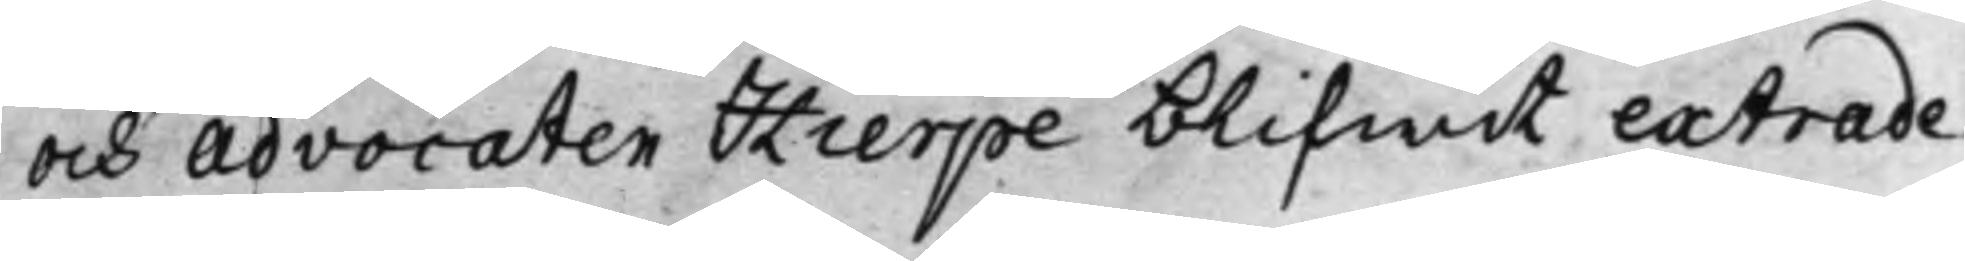och Advocaten Hierpe blifwit extrade¬
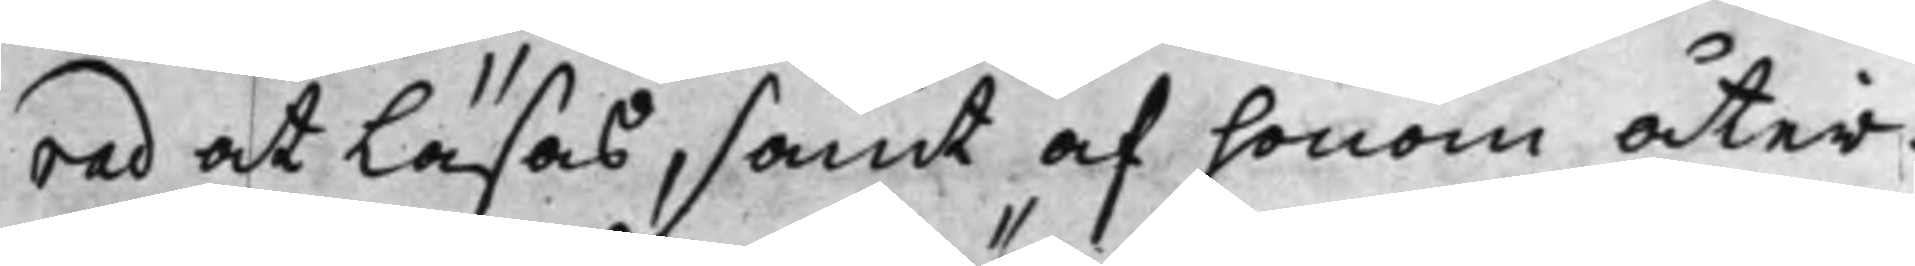rad at Läsas, samt af honom åter¬
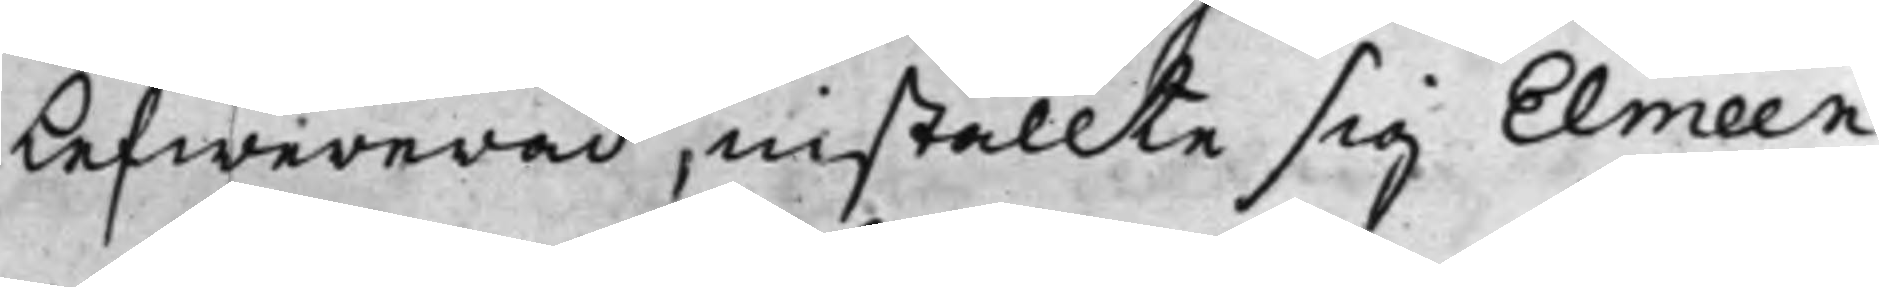Lefwererad, inställte sig Elmeen
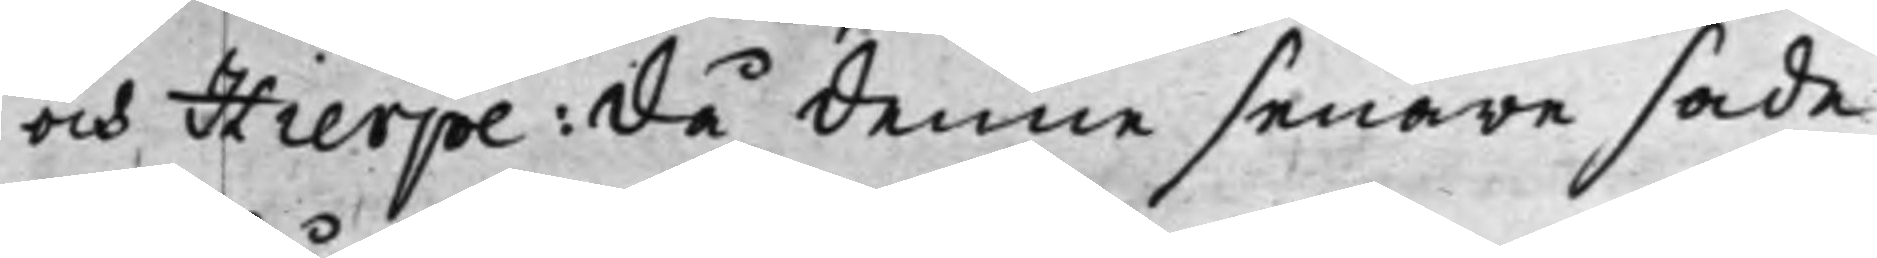och Hierpe: Då denne senare sade
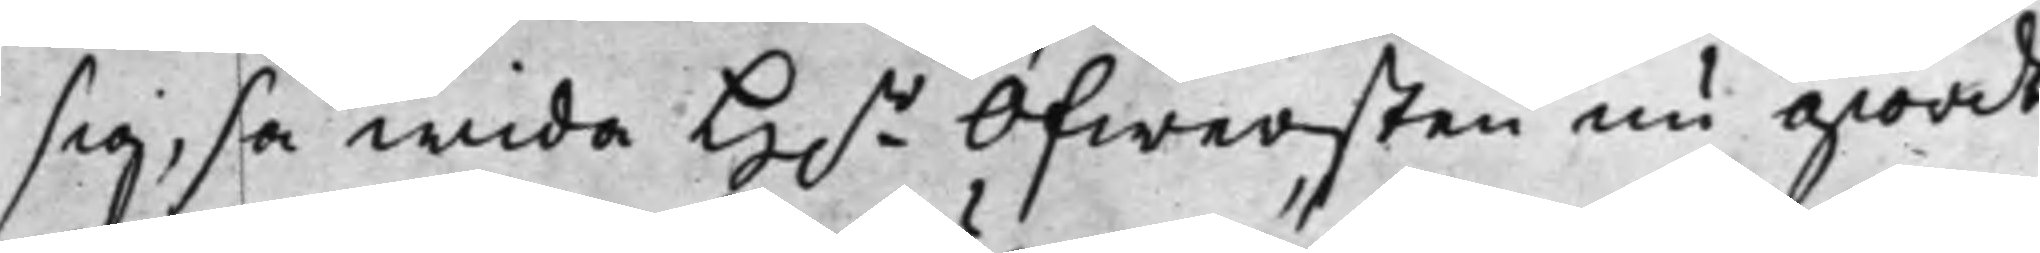sig, så wida H.r Öfwersten nu giordt
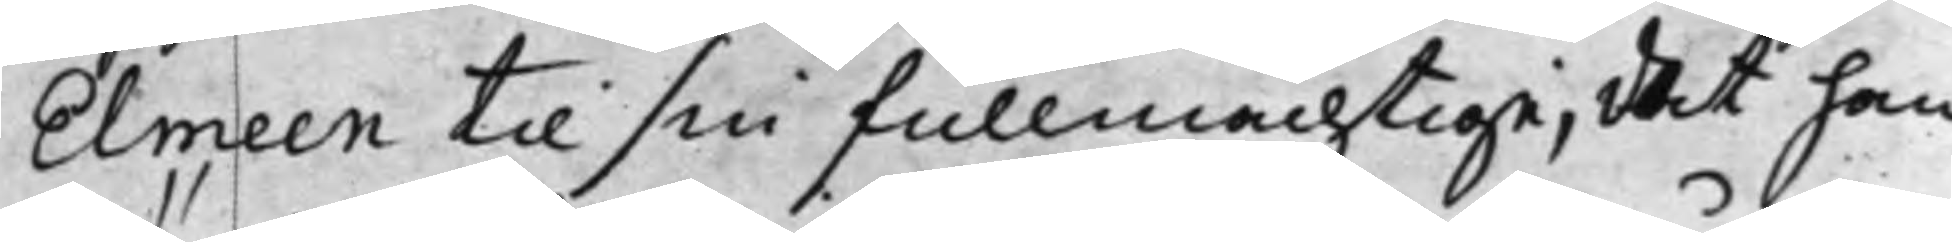Elmeen til sin fullmächtige; det han
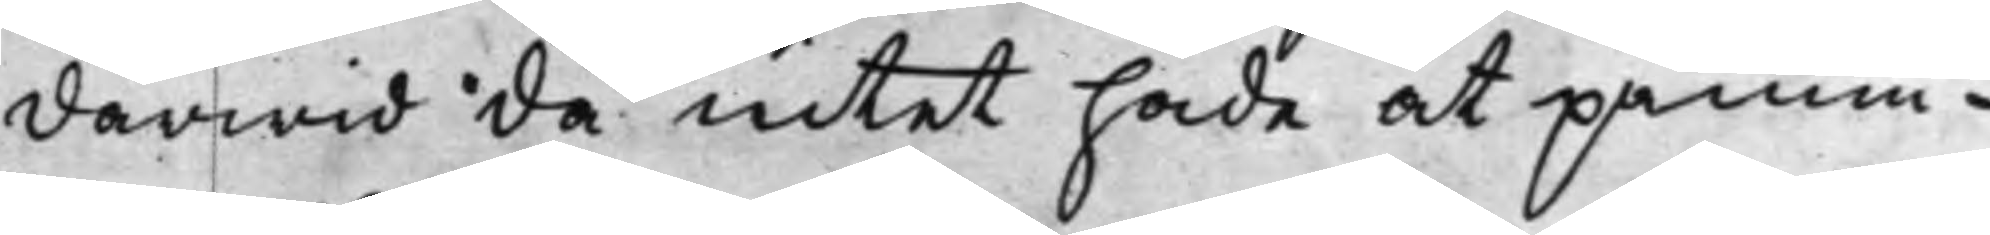därwid då intet hade at påmin¬
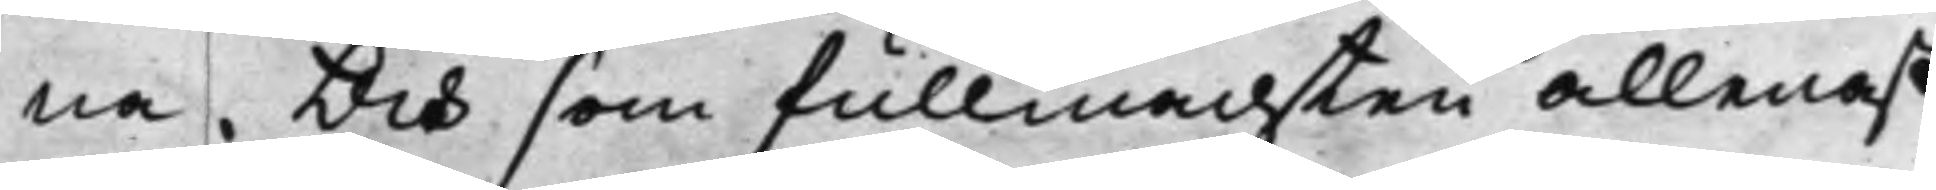na. Och som fullmachten allenast
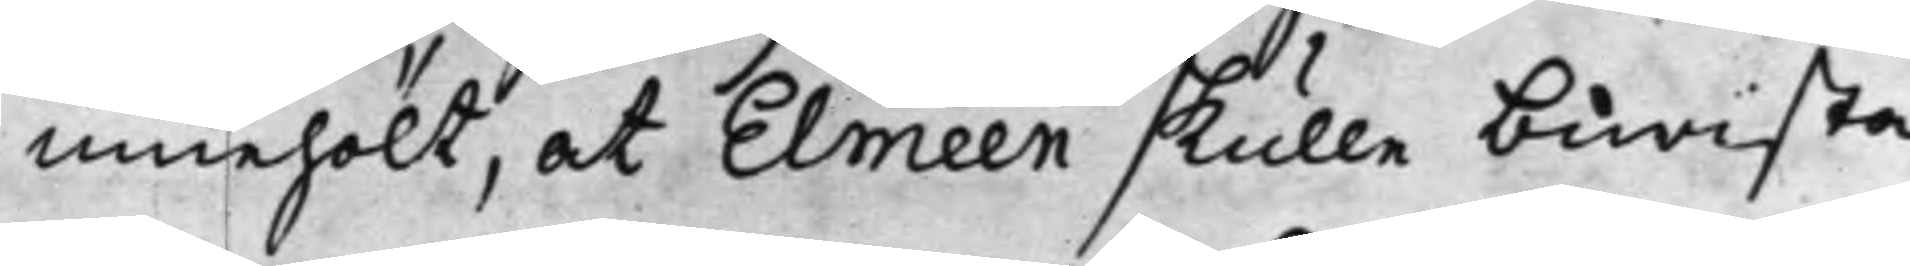innehölt, at Elmeen skulle bewista
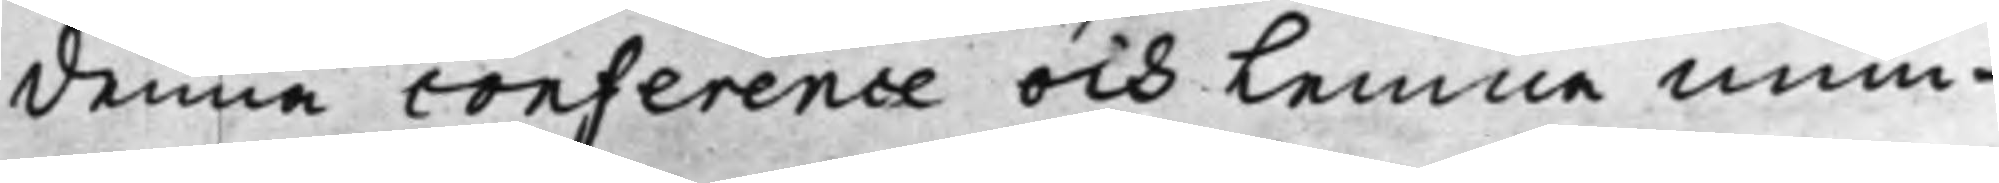denna conference och Lemna mun¬
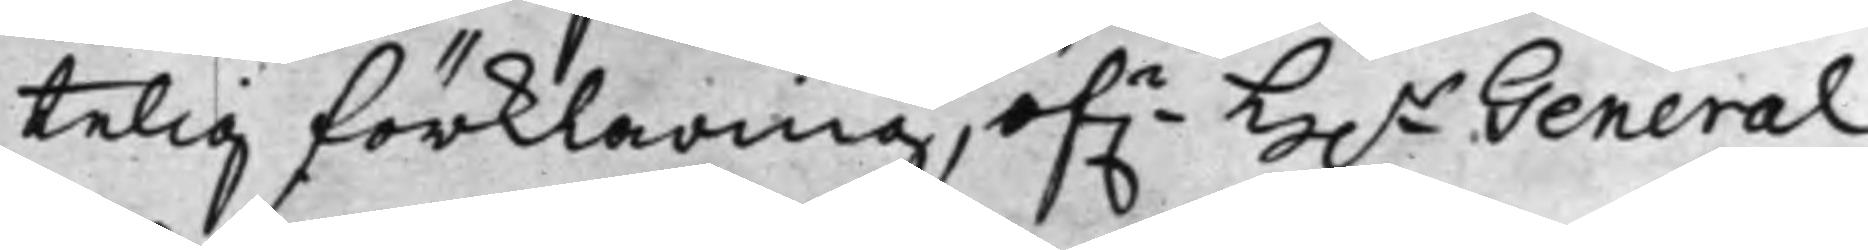telig förklaring, öf.r H.r General
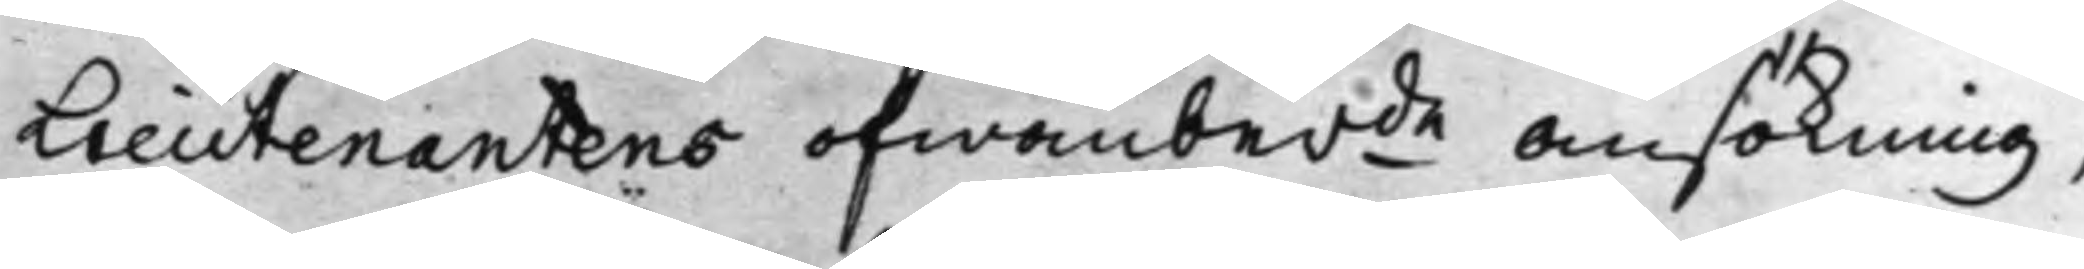Lieutenantens ofwanberde ansökning,
